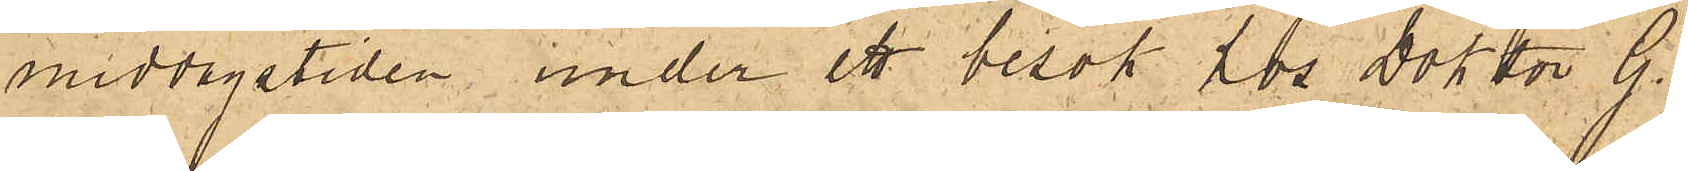middagstiden under ett besök hos Doktor G.
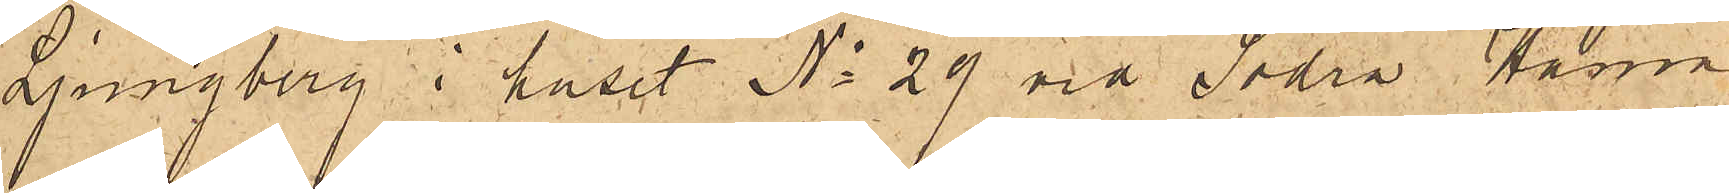Ljungberg i huset No 29 vid Södra Hamn¬
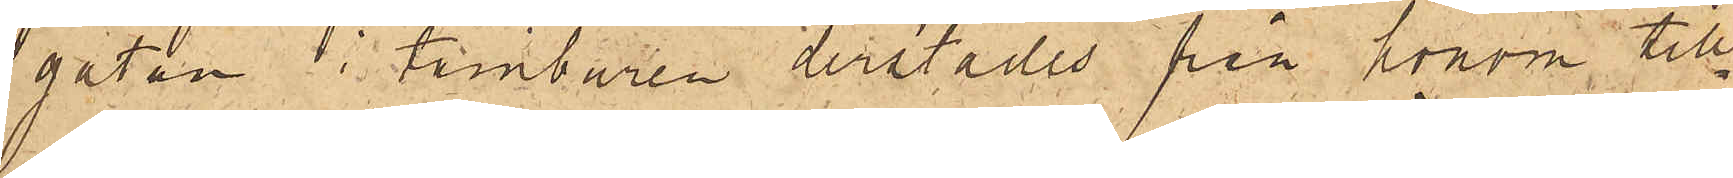gatan i tamburen derstädes från honom till¬
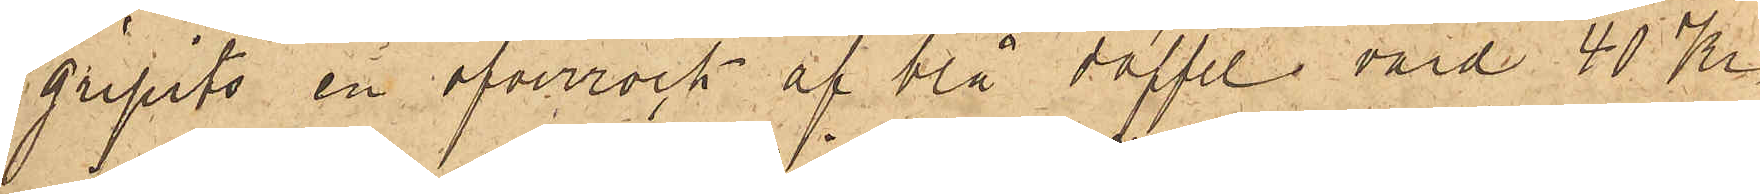gripits en öfverrock af blå doffel värd 40 Kr
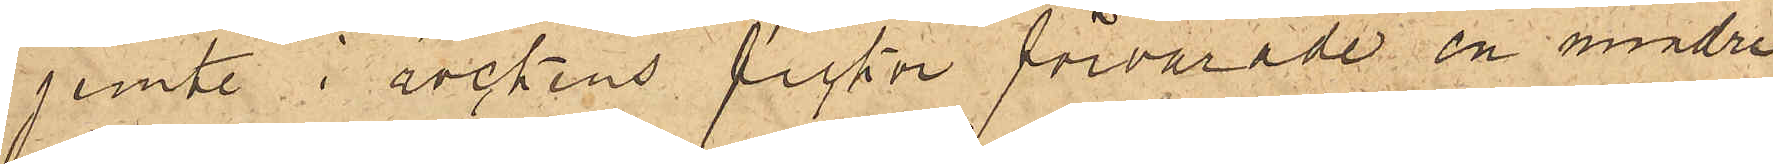jemte i rockens fickor förvarade en mindre
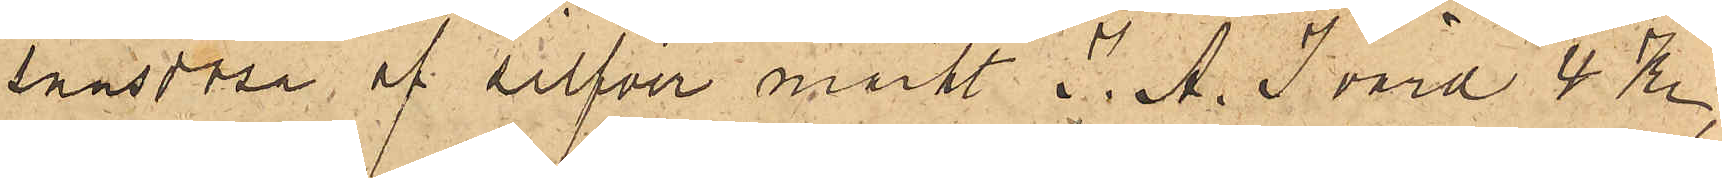snusdosa af silfver märkt A. J värd 4 Kr,
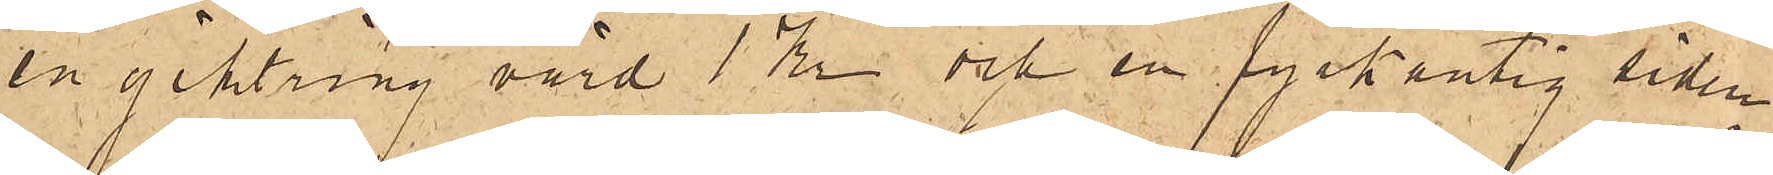en giktring värd 1 Kr och en fyrkantig siden¬
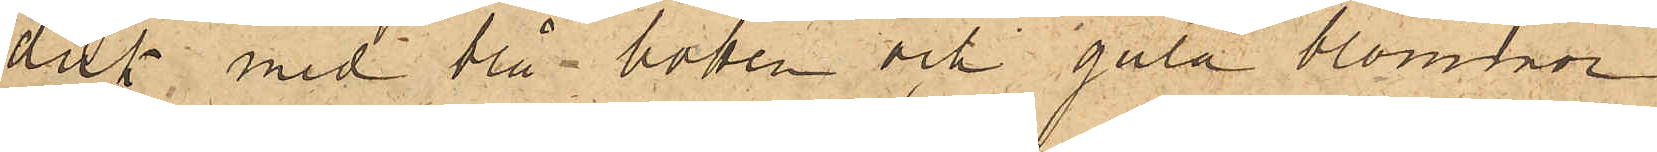duk med blå botten och gula blommor
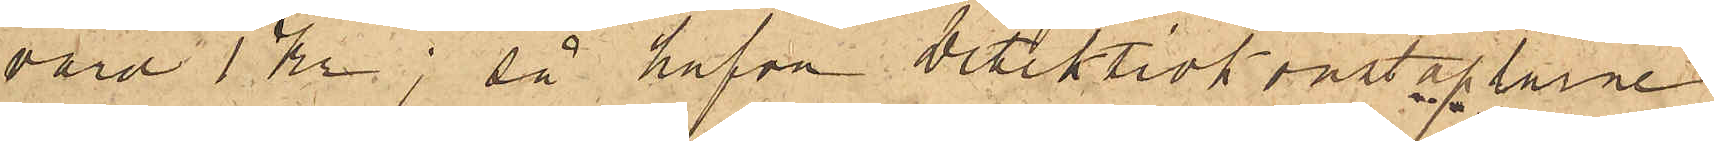värd 1 Kr; så hafva Detektivkonstaplarne
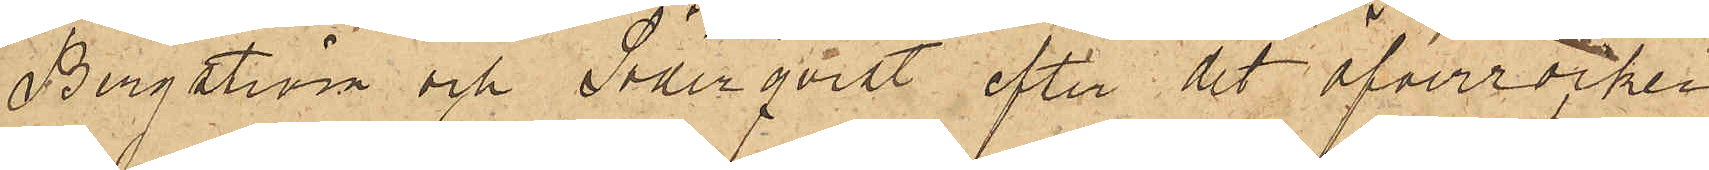Bergström och Söderqvist efter det öfverrocken
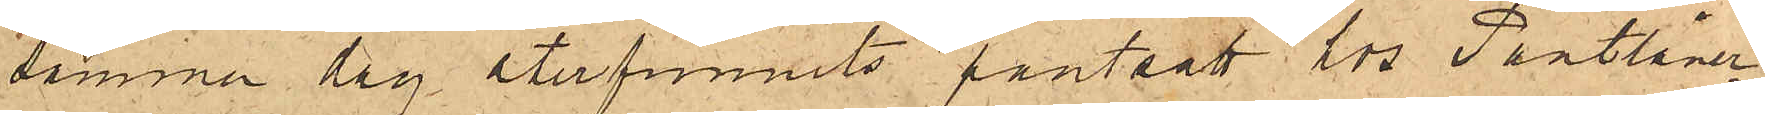samma dag återfunnits pantsatt hos Pantlåner¬
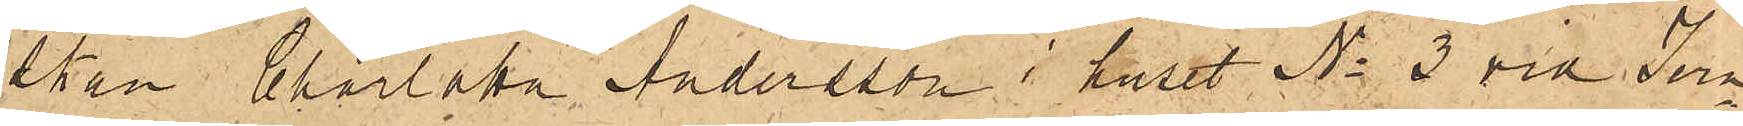skan Charlotta Andersson i huset No 3 vid Jern¬
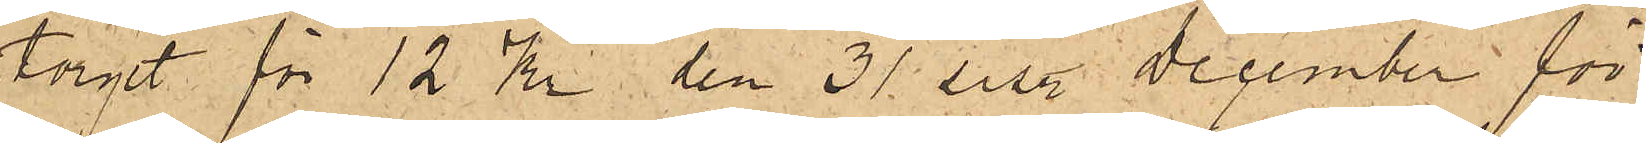torget för 12 Kr den 31 sist. December för
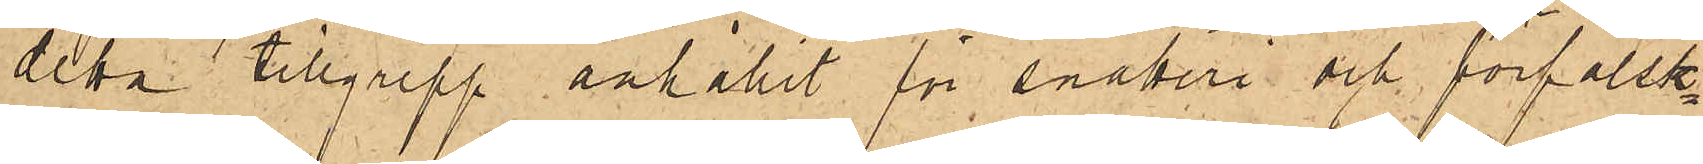detta tillgrepp anhållit för snatteri och förfalsk¬
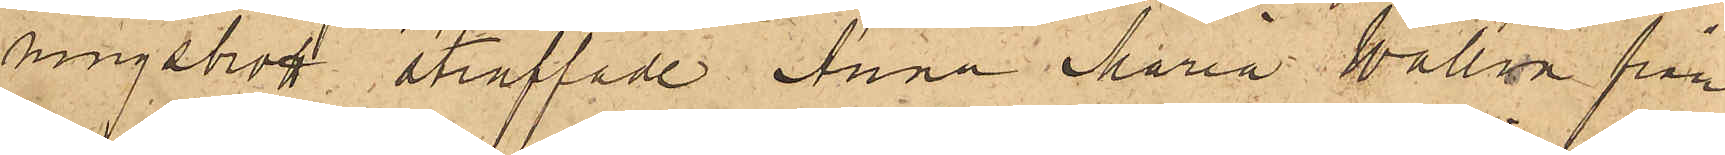ningsbrott straffade Anna Maria Wallin från
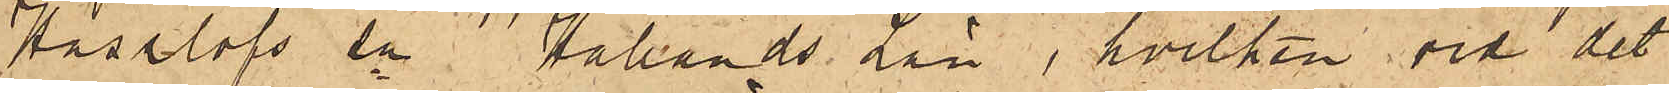Hasslöfs sn Hallands Län, hvilken vid det
